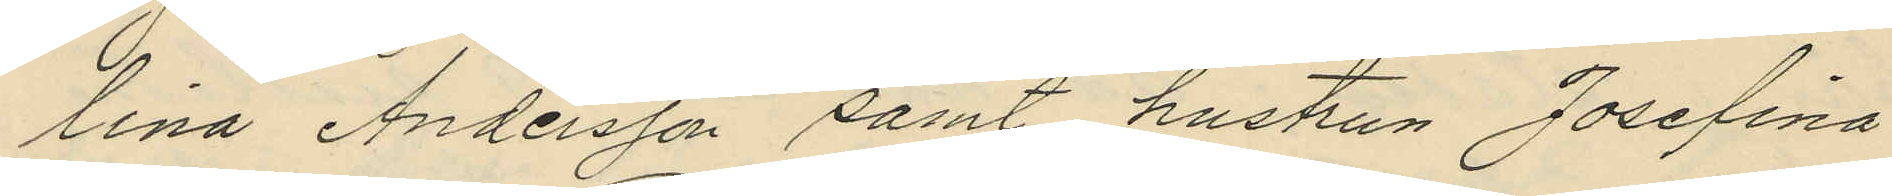lina Andersson samt hustrun Josefina
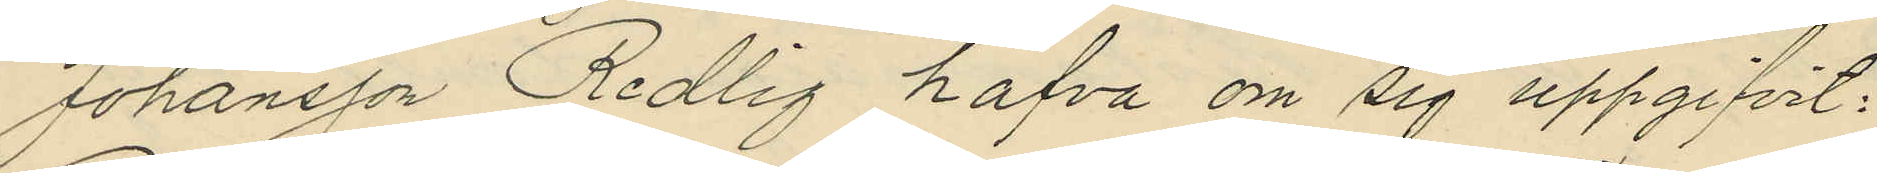Johansson Redlig hafva om sig uppgifvit:
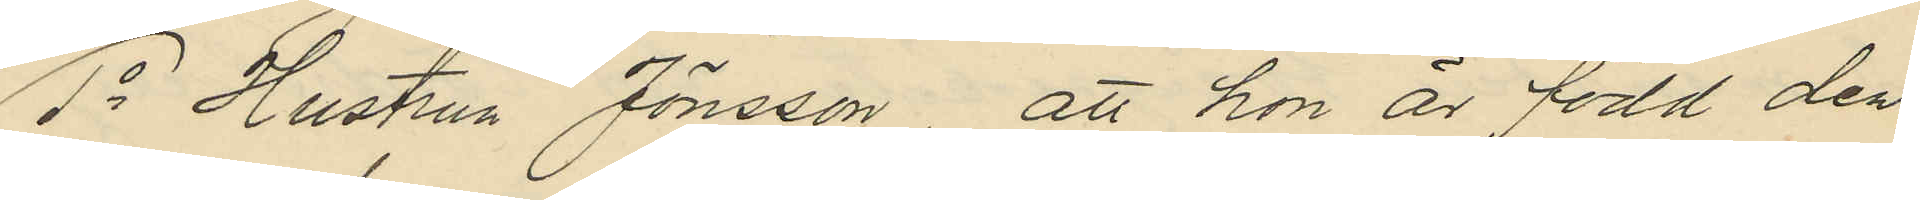1o Hustrun Jönsson, att hon är född den
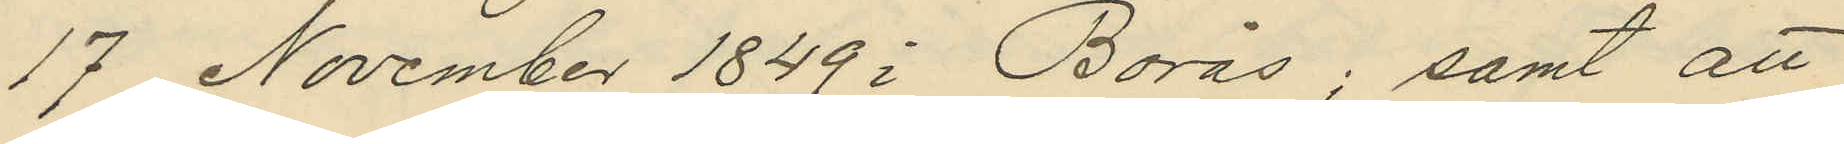17 November 1849 i Borås; samt att
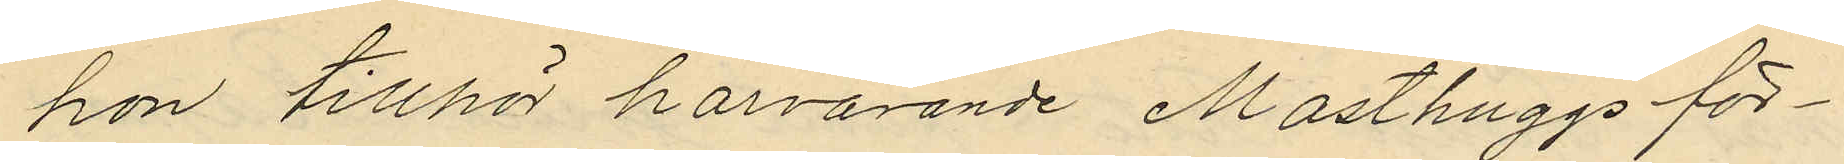hon tillhör härvarande Masthuggs för¬
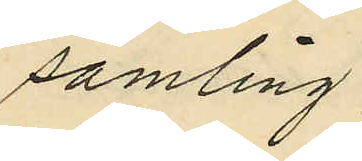samling;
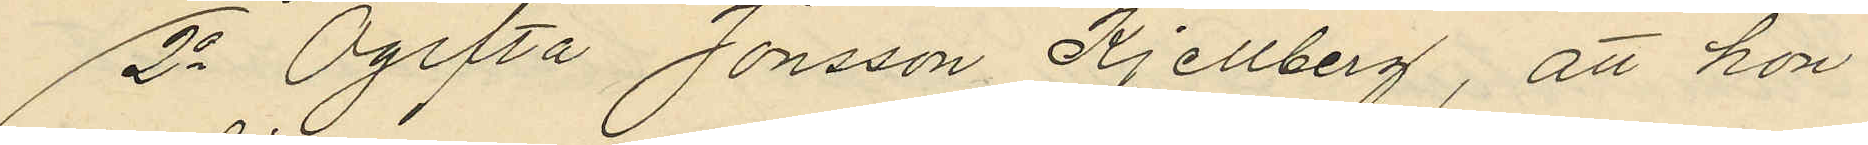2o Ogifta Jönsson Kjellberg, att hon
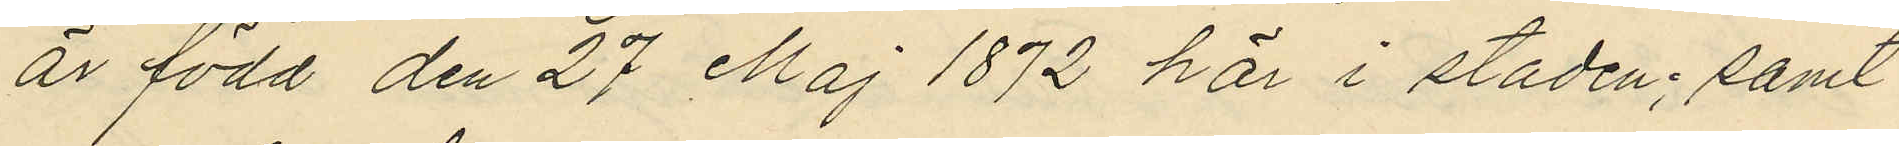är född den 27 Maj 1872 här i staden; samt
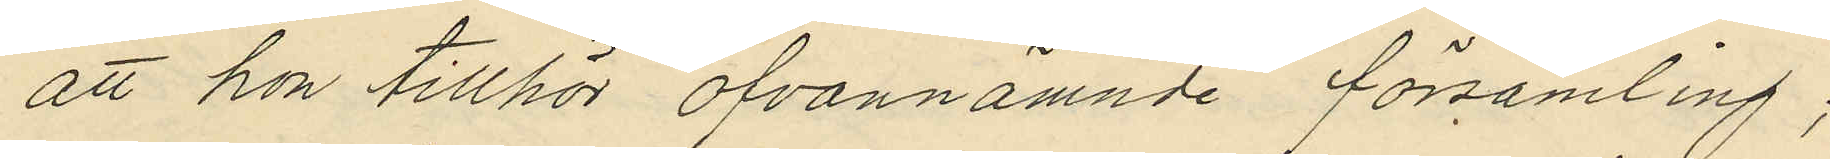att hon tillhör ofvannämnde församling;
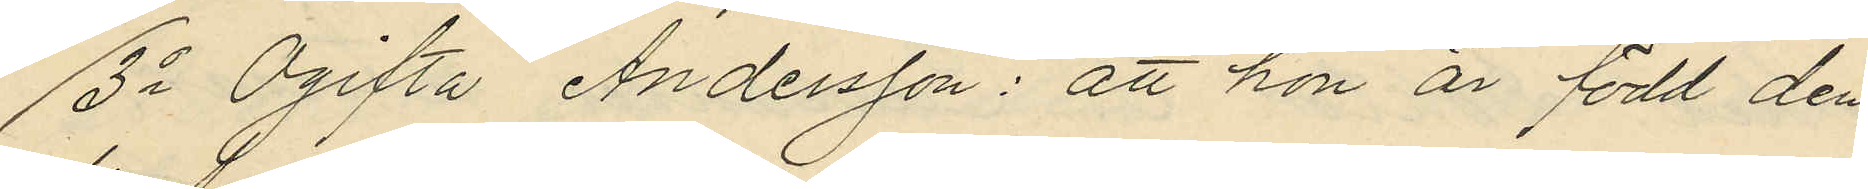3o Ogifta Andersson: att hon är född den
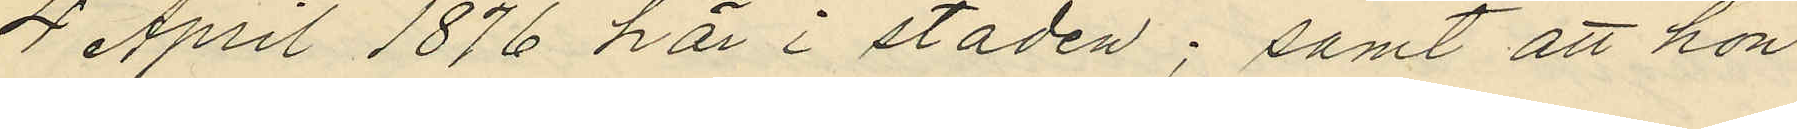4 April 1876 här i staden; samt att hon
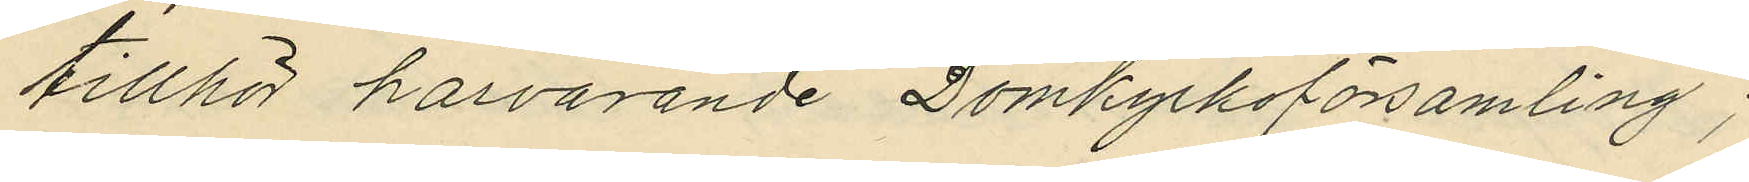tillhör härvarande Domkyrkoförsamling;
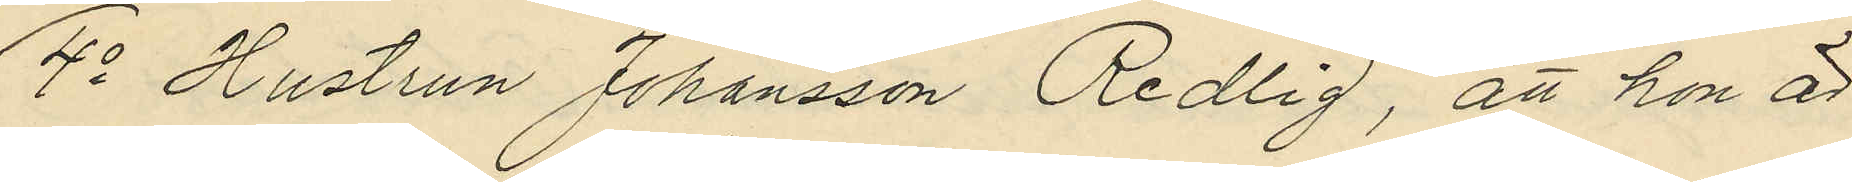4o Hustrun Johansson Redlig, att hon är
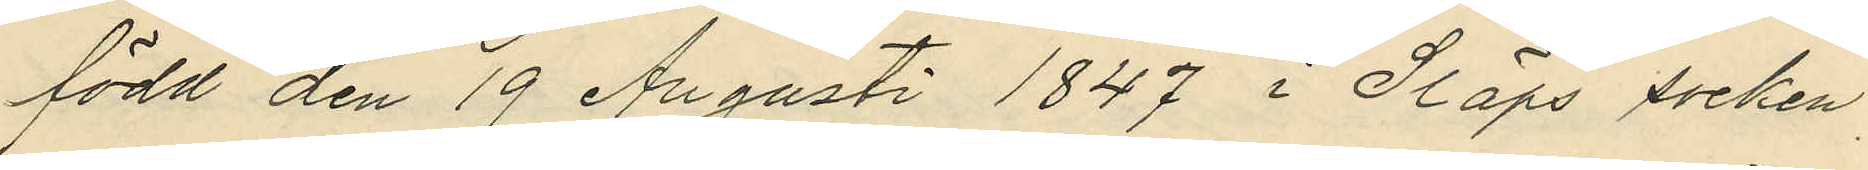född den 19 Augusti 1847 i Släps socken,
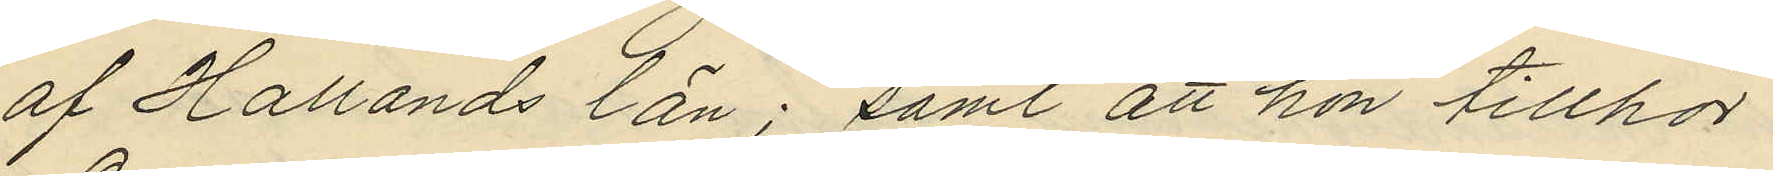af Hallands län; samt att hon tillhör
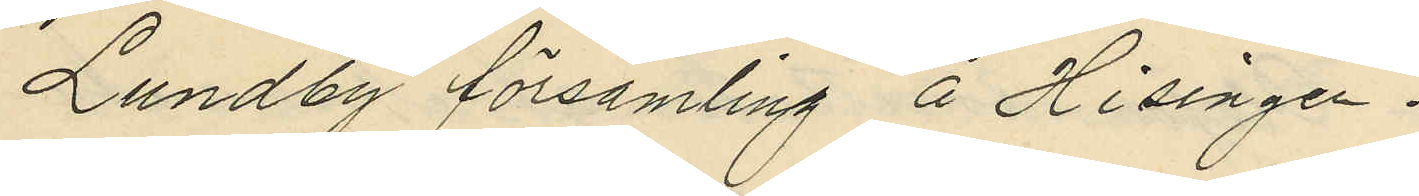Lundby församling å Hisingen.
